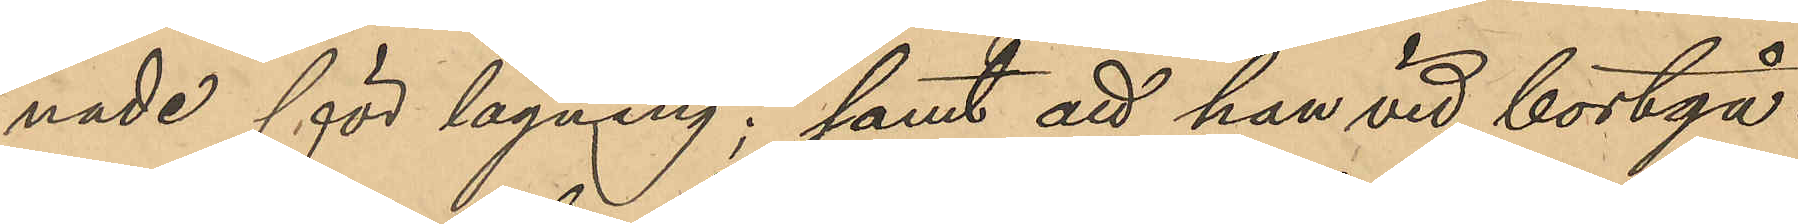nade för lagning; samt att hon vid bortgå¬
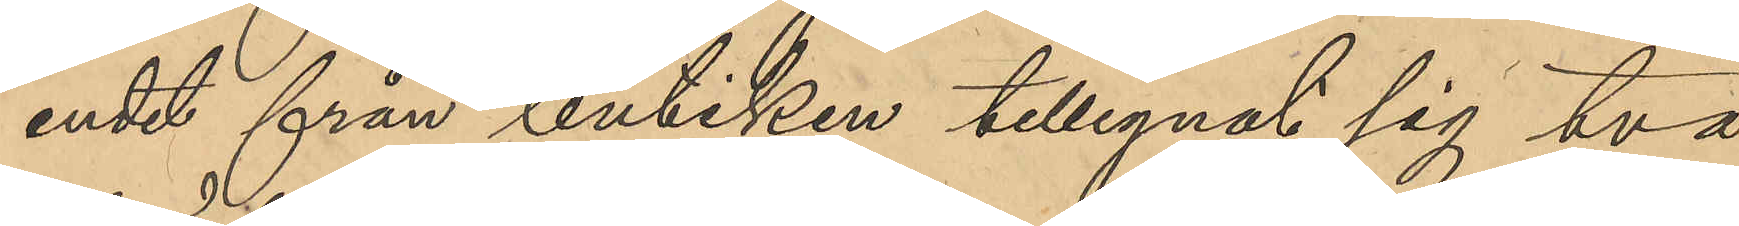endet från butiken tillegnat sig två
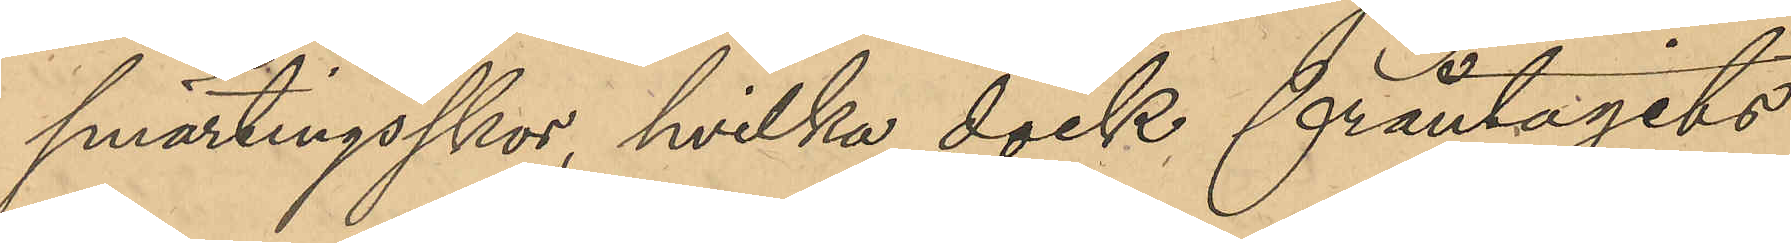smärtingsskor, hvilka dock fråntagits
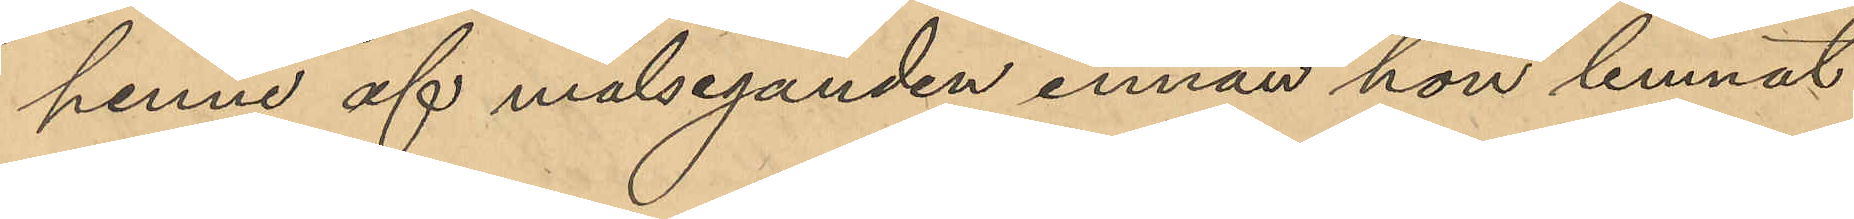henne af målseganden innan hon lemnat 
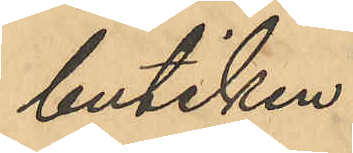butiken.
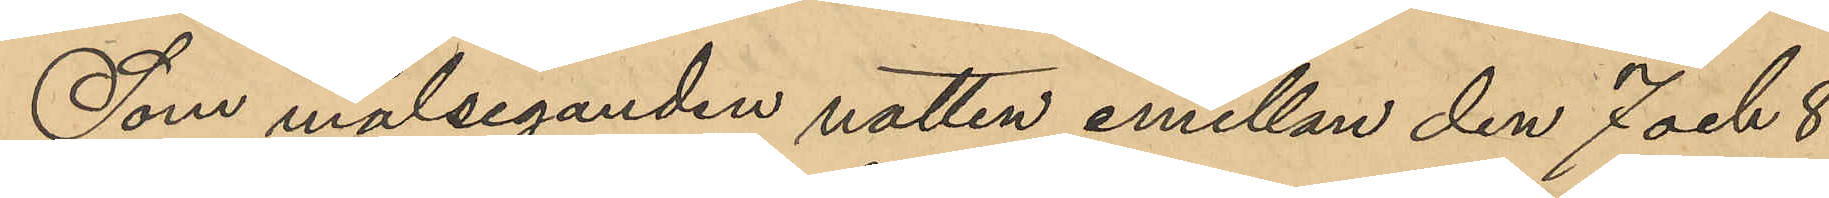Som målseganden natten emellan den 7 och 8
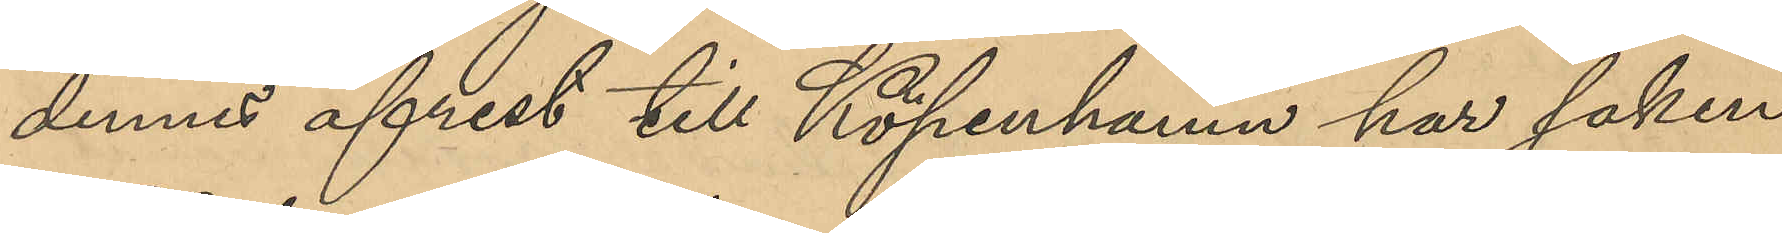dennes afrest till Köpenhamn har saken 
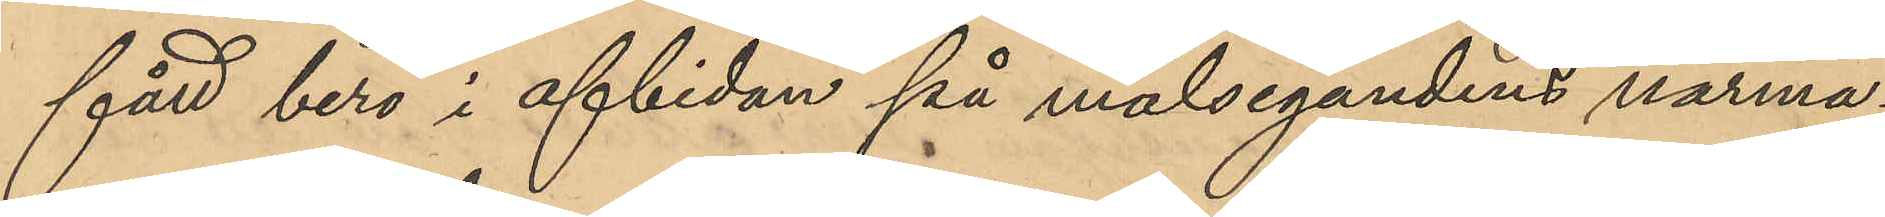fått bero i afbidan på målsegandens närma¬
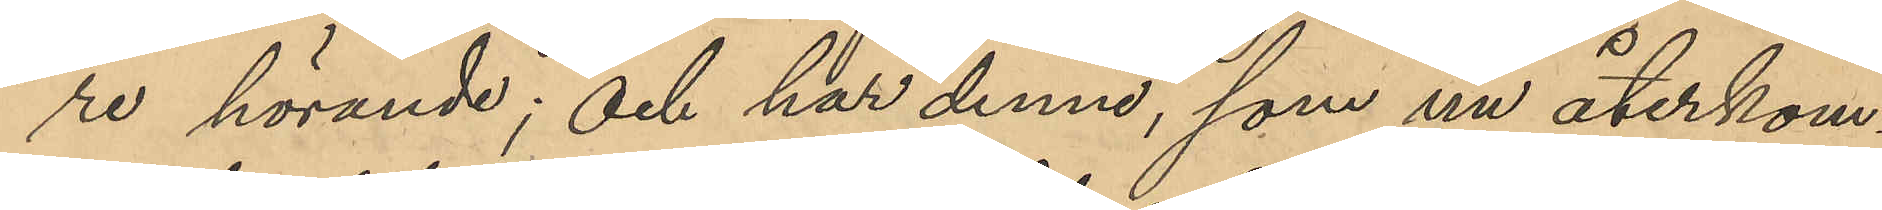re hörande; och har denne, som nu återkom¬
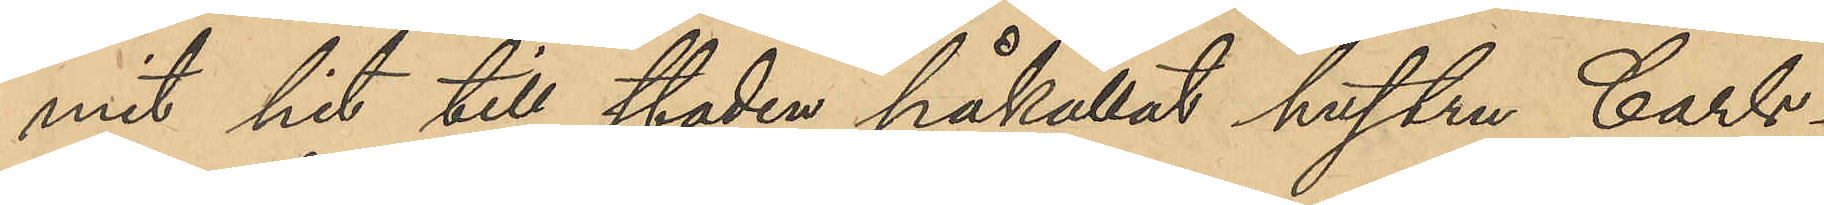mit hit till staden påkallat hustru Carls¬
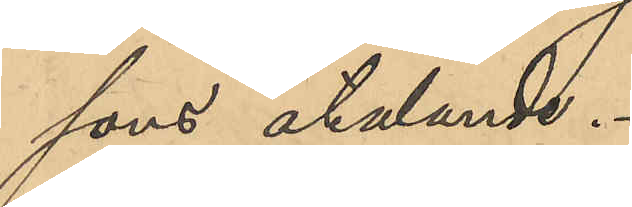sons åtalande.
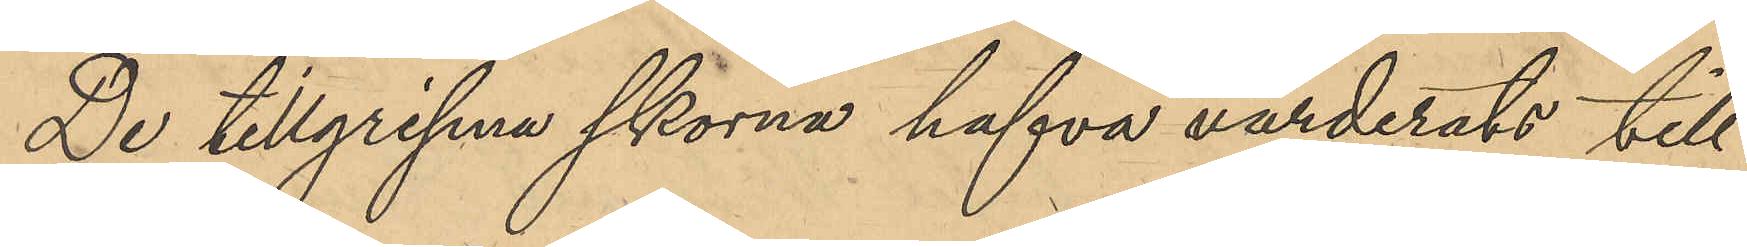De tillgripne skorna hafva värderats till
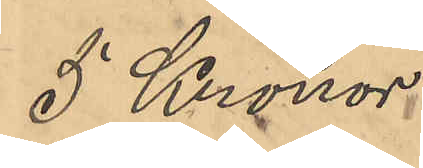5 Kronor.
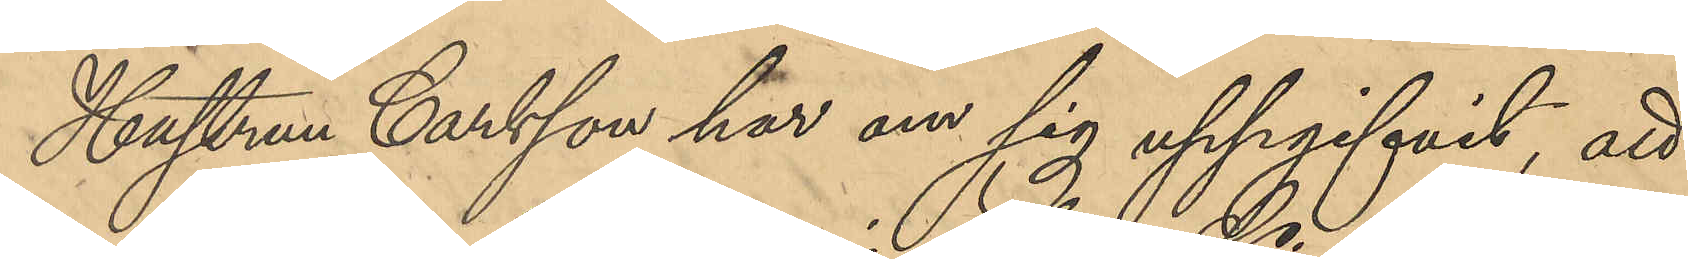Hustrun Carlsson har om sig uppgifvit, att
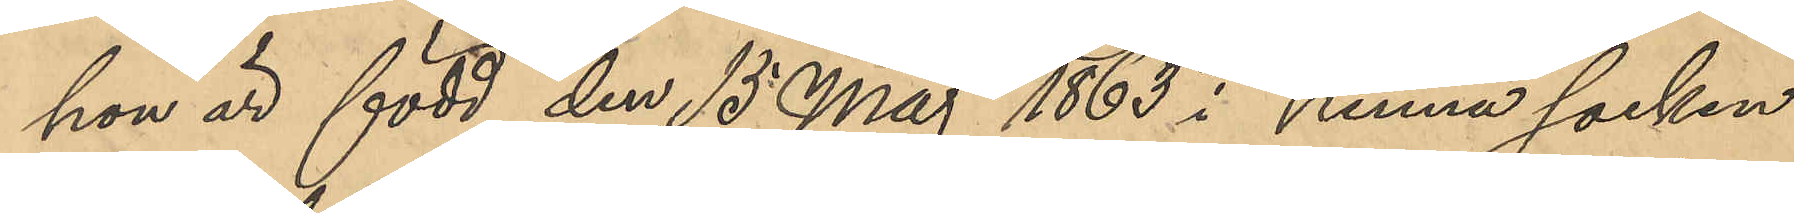hon är född den 15 Maj 1863 i Kinna socken
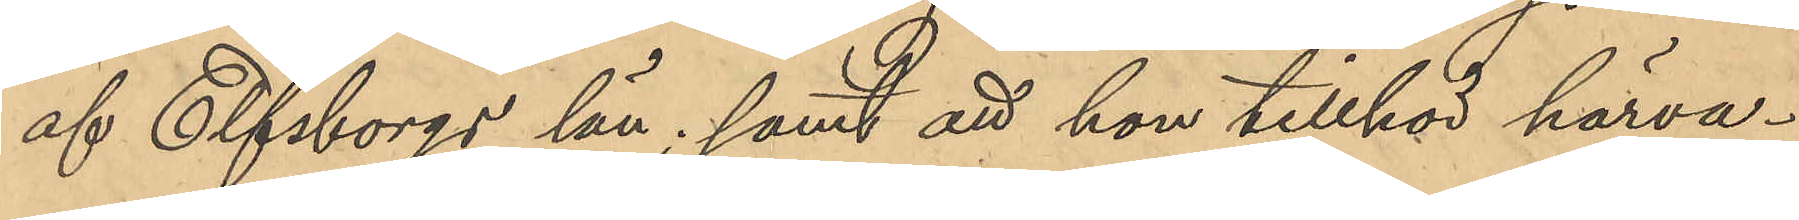af Elfsborgs län; samt att hon tillhör härva¬
